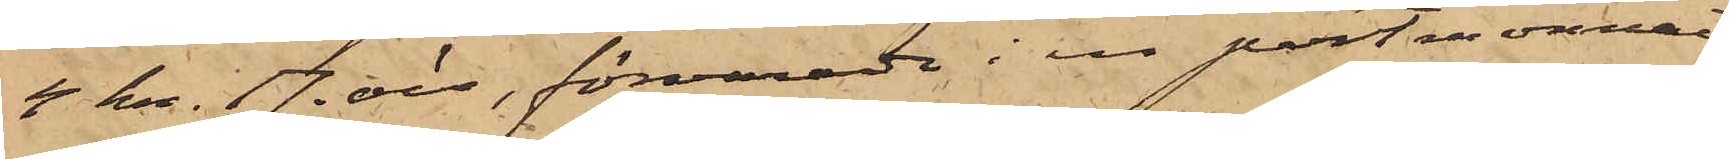4 kr. 17 öre, förvarade i en portmonnai
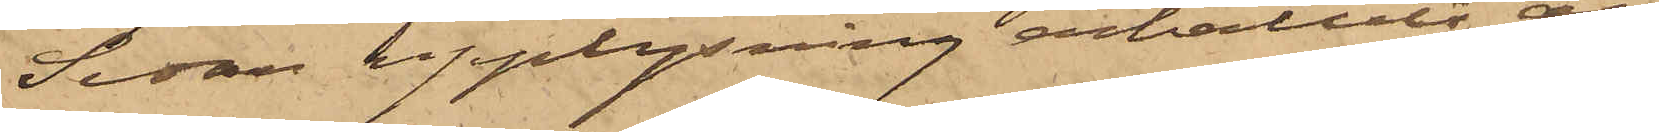Sedan upplysning erhållits, att
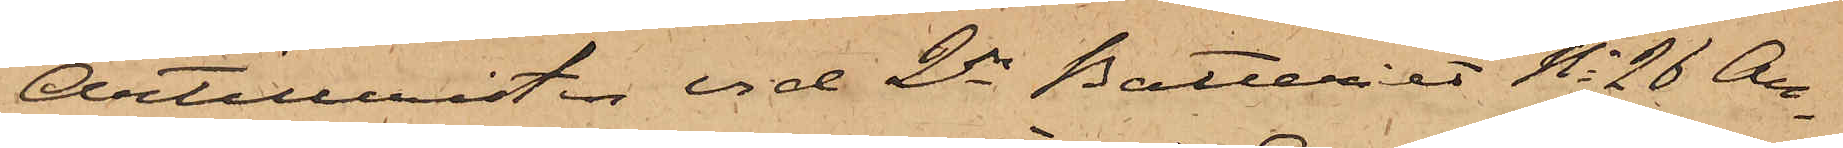Artilleristen vid 2dra Batteriet No 26 An¬
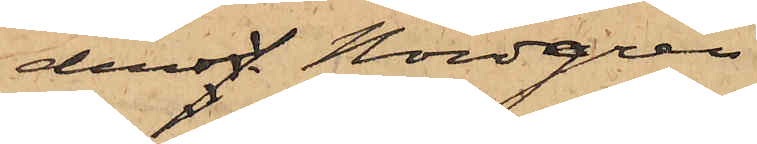dersaf Nordgren
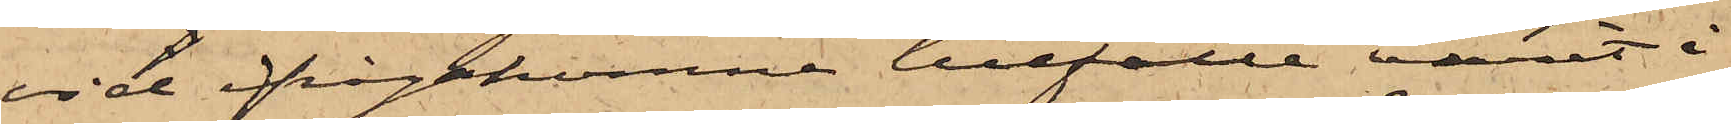vid ifrågakomne tillfälle varit i
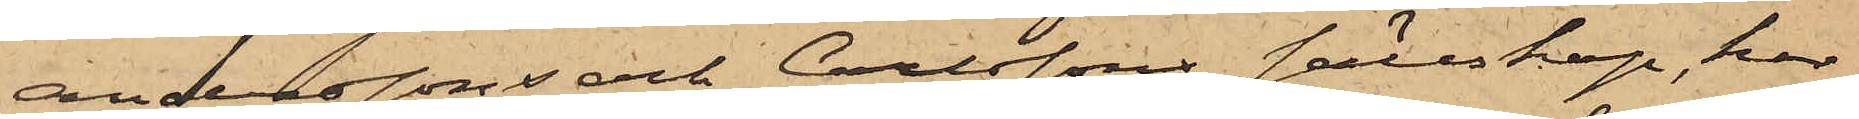Anderssons och Carlssons sällskap, har
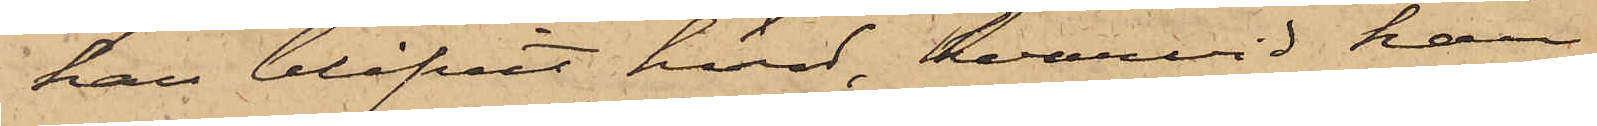han blifvit hörd, hvarvid han
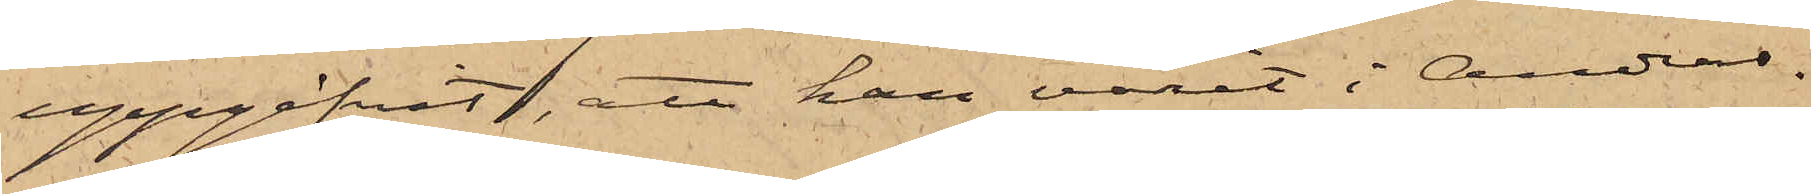uppgifvit, att han varit i Anders¬
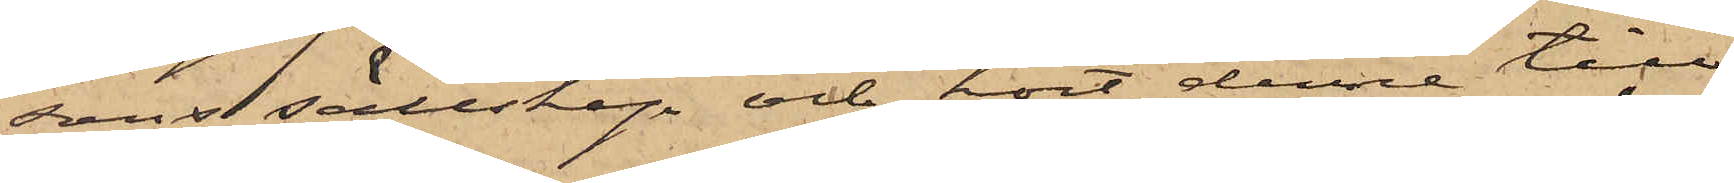sons sällskap och hört denne till
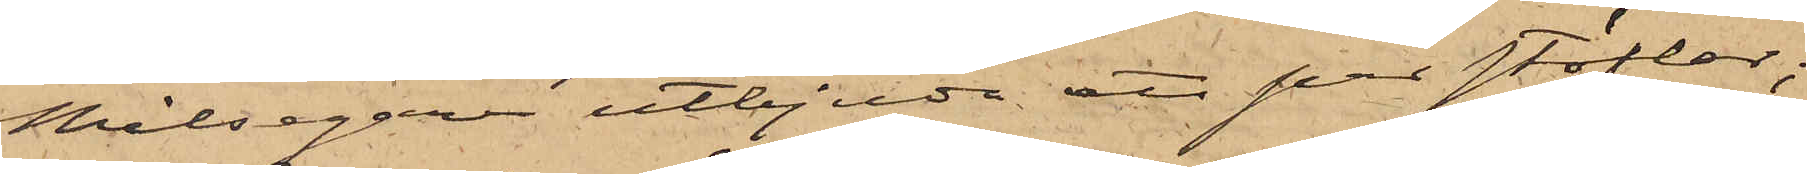Målsegaren utbjuda ett par stöflar;
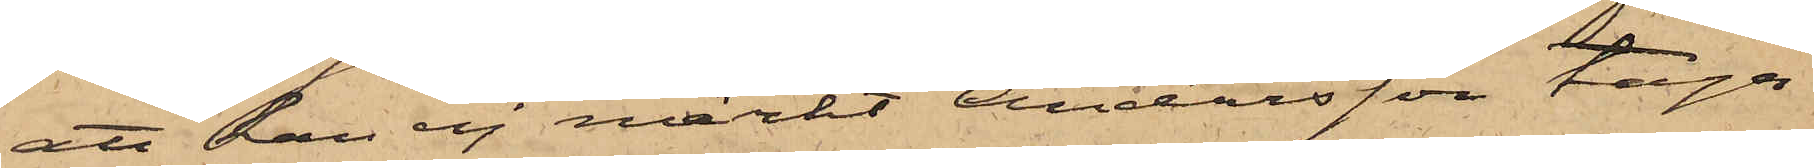att han ej märkt Andersson taga
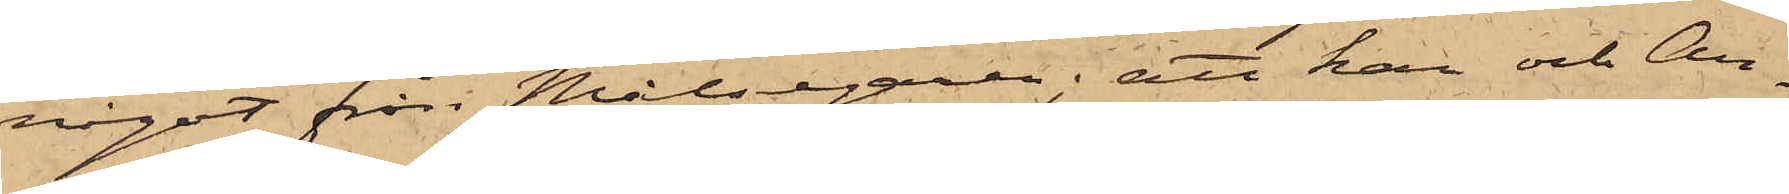något från Målsegaren; att han och An¬
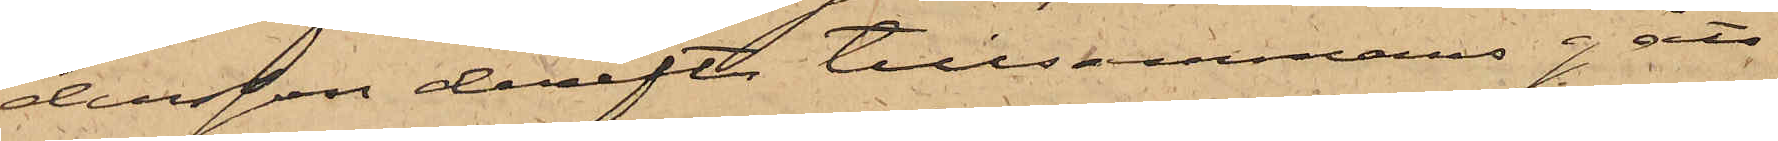dersson derefter tillsammans gått
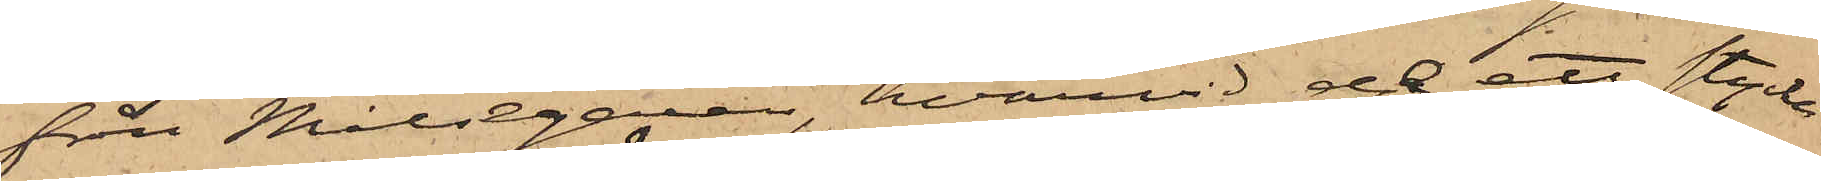från Målsegaren, hvarvid de ett stycke
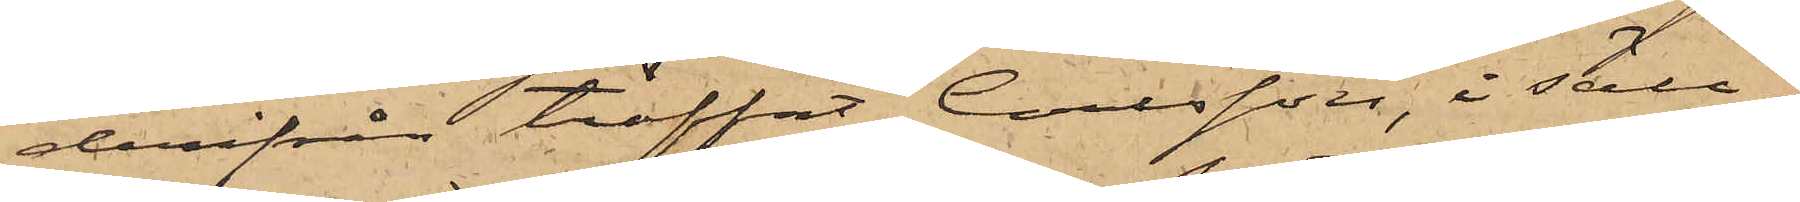derifrån träffat Carlsson, i säll¬
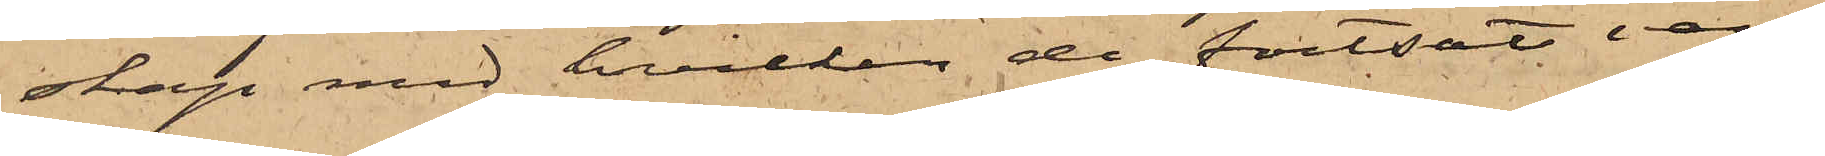skap med hvilken de fortsatt van¬
